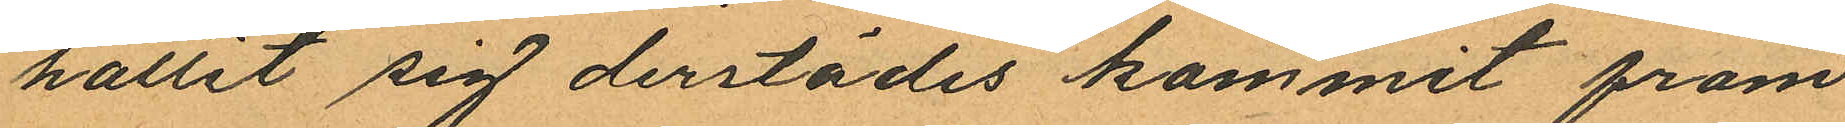hållit sig derstädes kommit fram
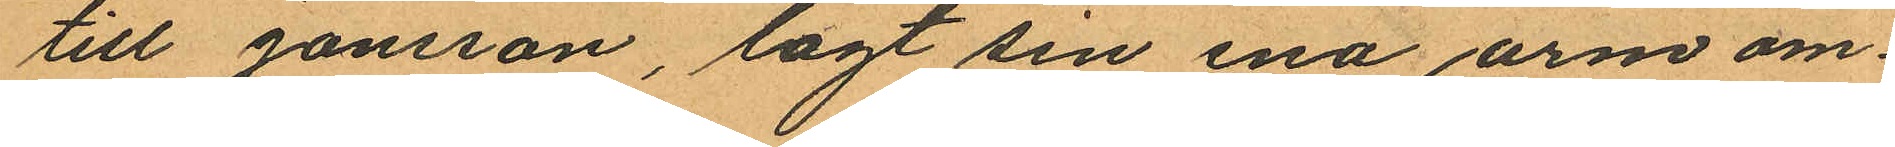till Jansson, lagt sin ena arm om
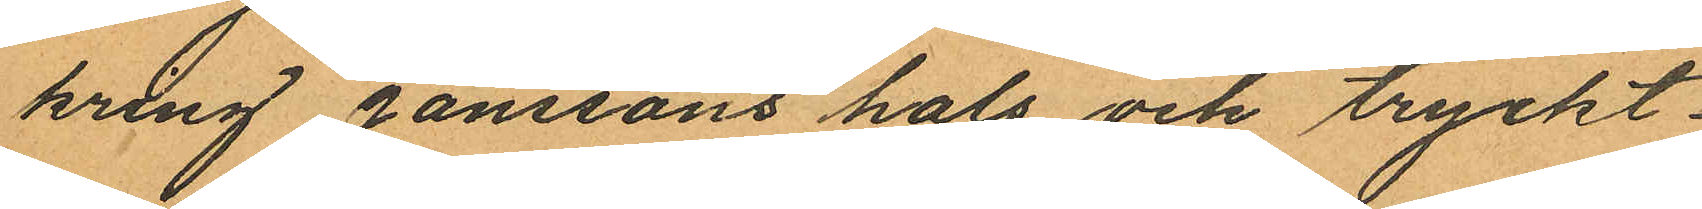kring Janssons hals och tryckt
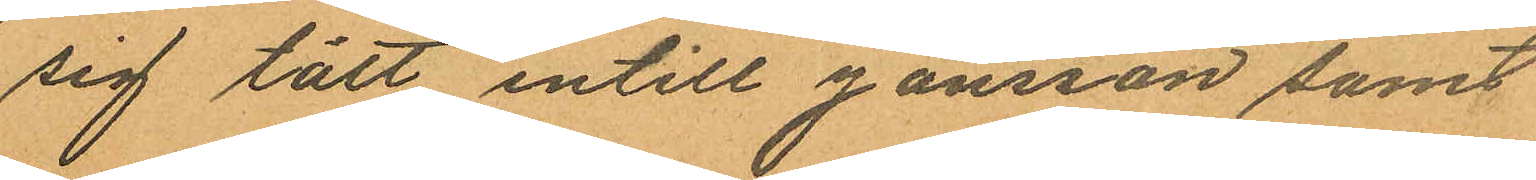sig tätt intill Jansson samt
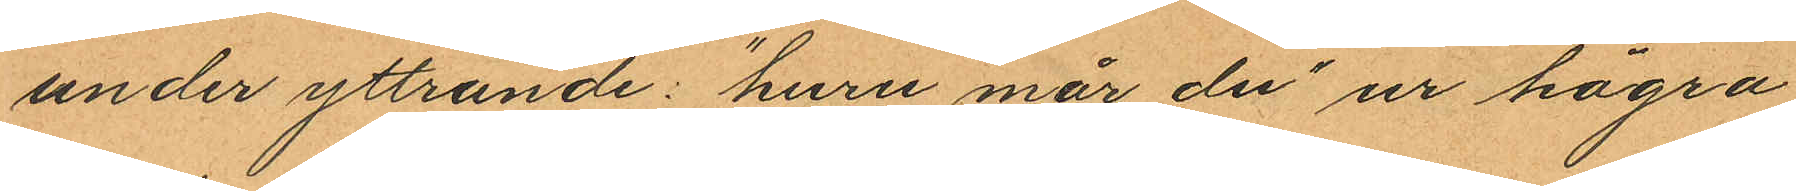under yttrande: "huru mår du" ur högra
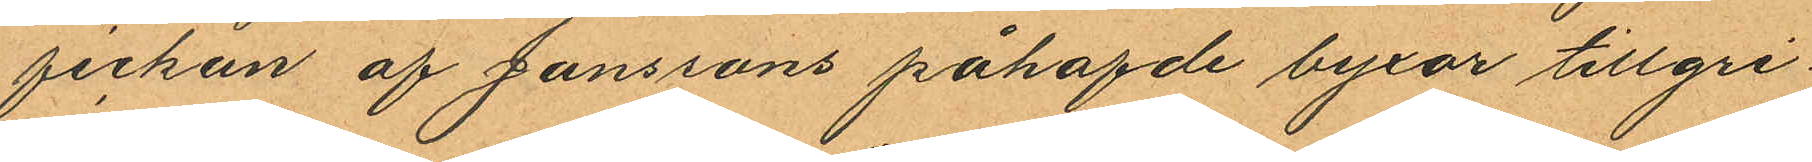fickan af Janssons påhafde byxor tillgri¬
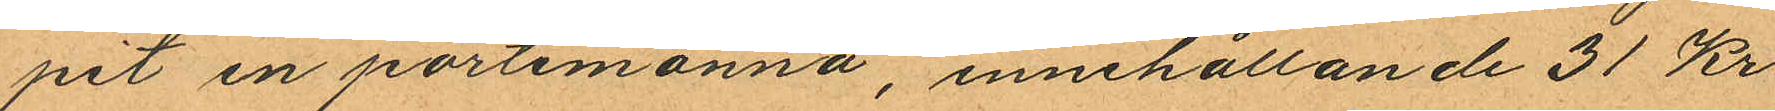pit en portemonnä, innehållande 31 Kr
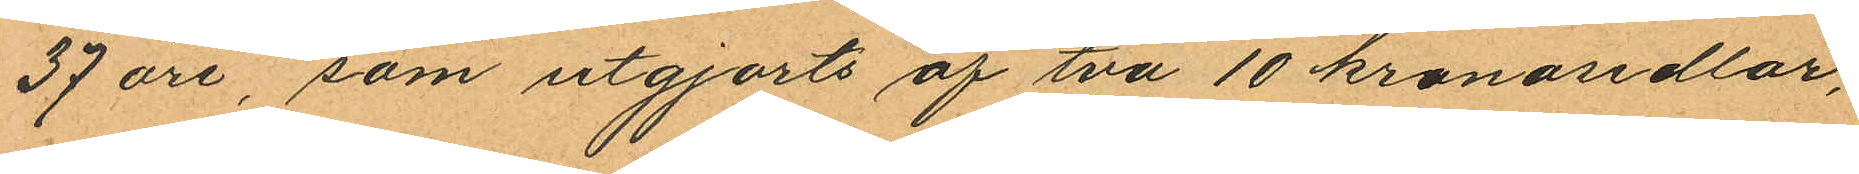37 öre, som utgjorts af två 10 kronosedlar,
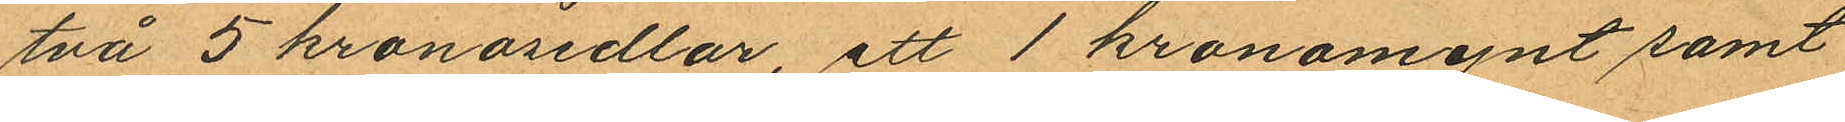två 5 kronosedlar, ett 1 kronomynt samt
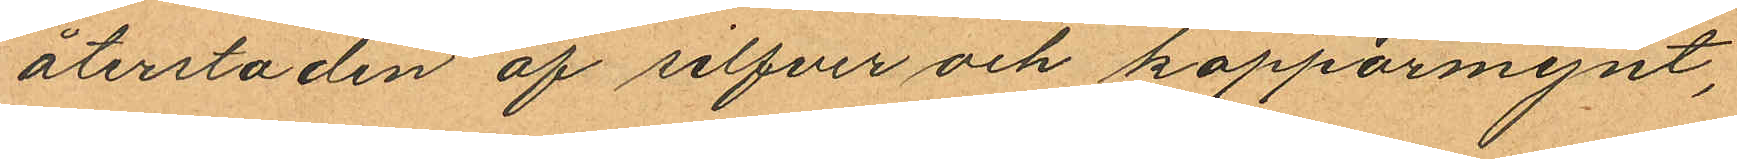återstoden af silfver och kopparmynt,
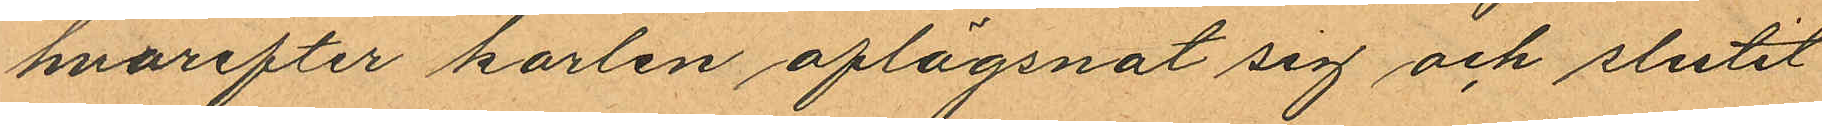hvarefter karlen aflägsnat sig och slutit
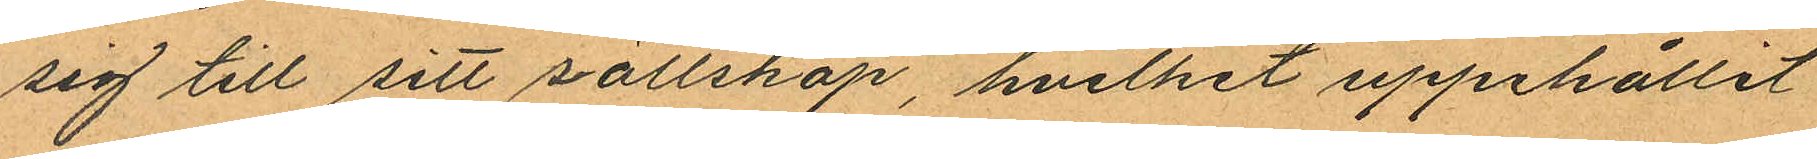sig till sitt sällskap, hvilket uppehållit
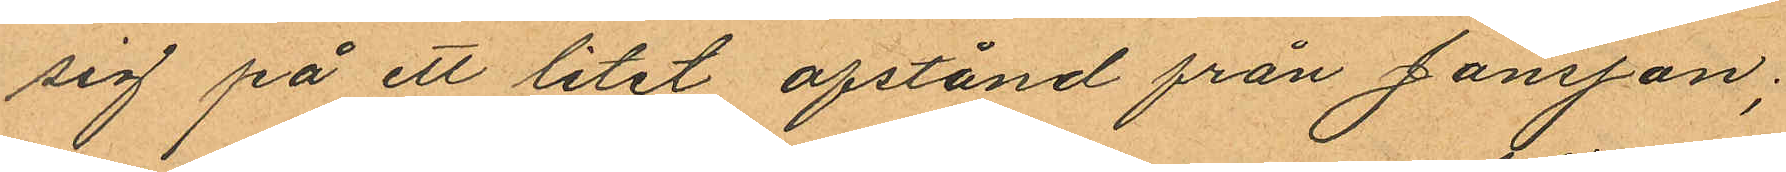sig på ett litet afstånd från Jansson;
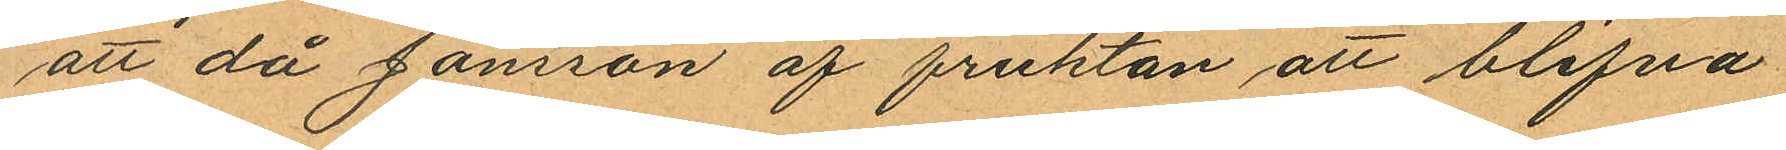att då Jansson af fruktan att blifva
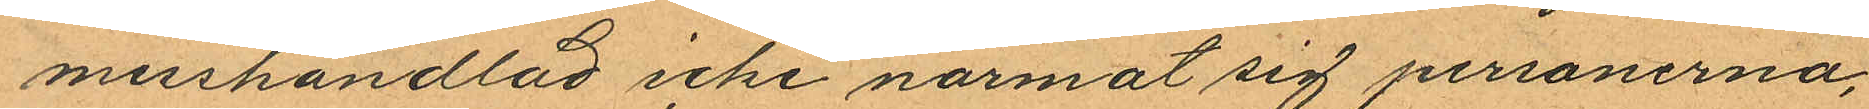misshandlad icke närmat sig personerna,
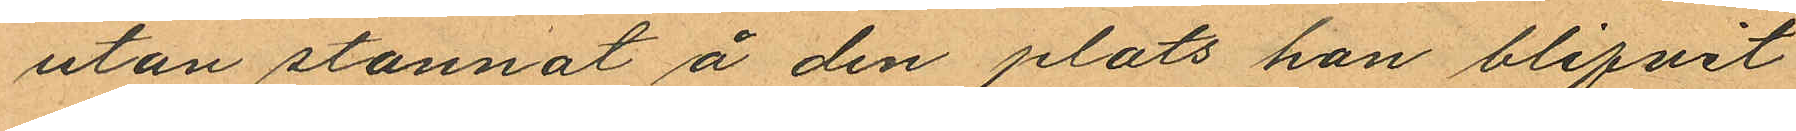utan stannat å den plats han blifvit
